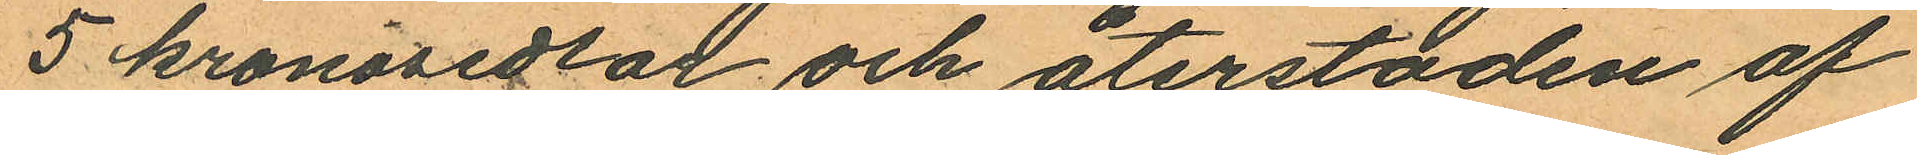5 kronosedlar och återstoden af
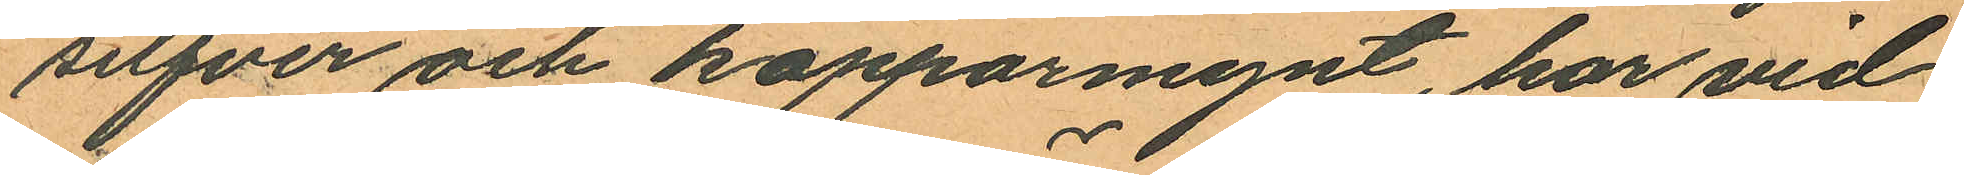silfver och kopparmynt, har vid
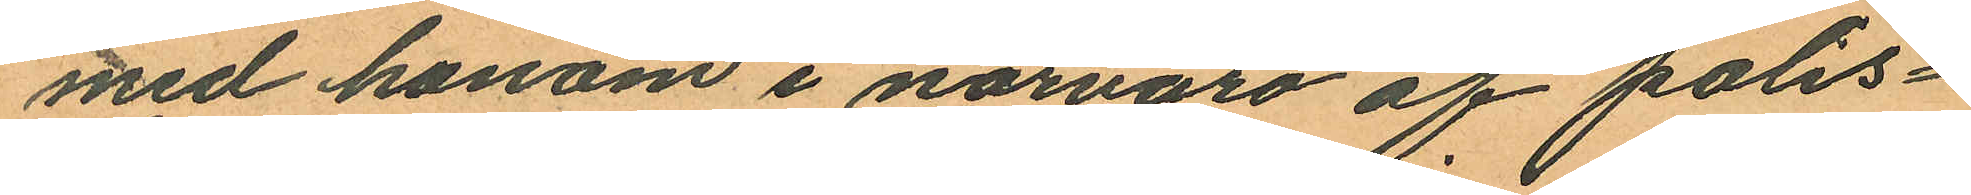med honom i närvaro af polis¬
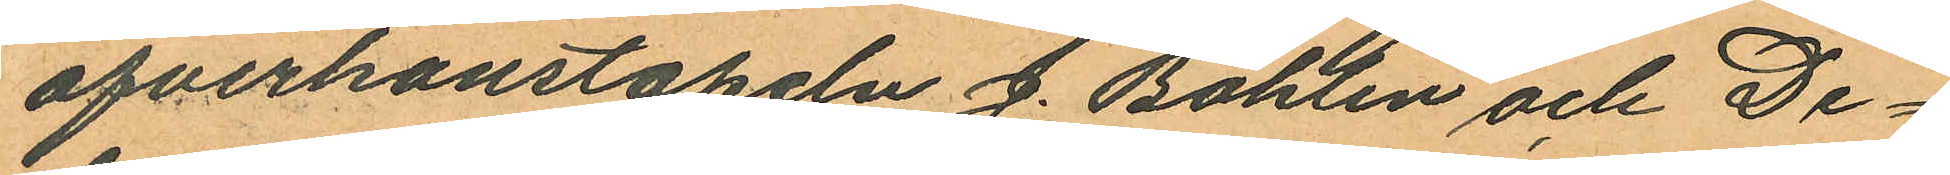öfverkonstapeln J. Bohlin och De¬
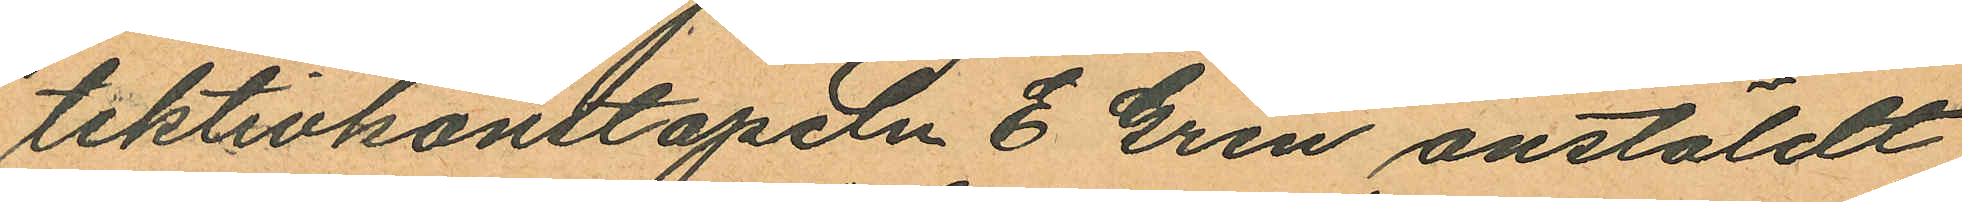tektivkonstapeln E. Gren anstäldt
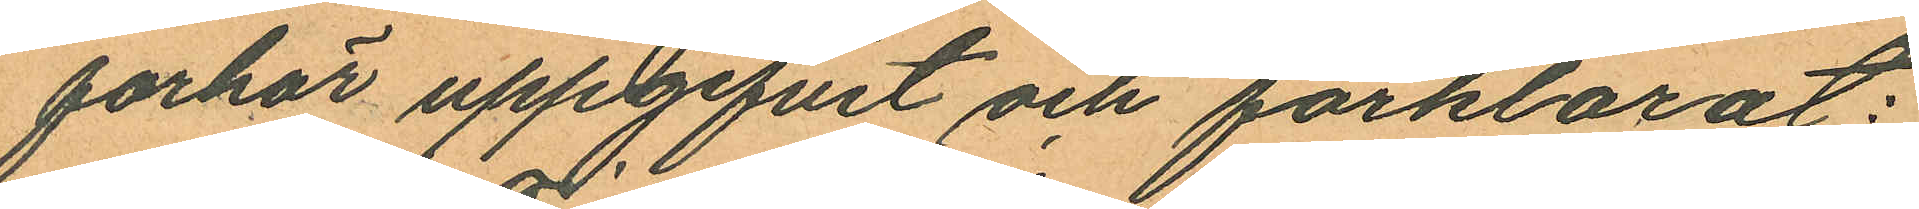forhör uppgifvit och förklarat:
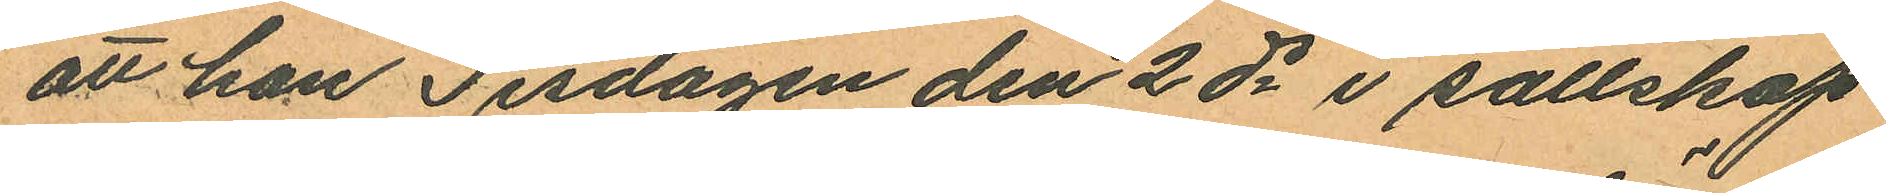att han Tisdagen den 2 ds i sällskap
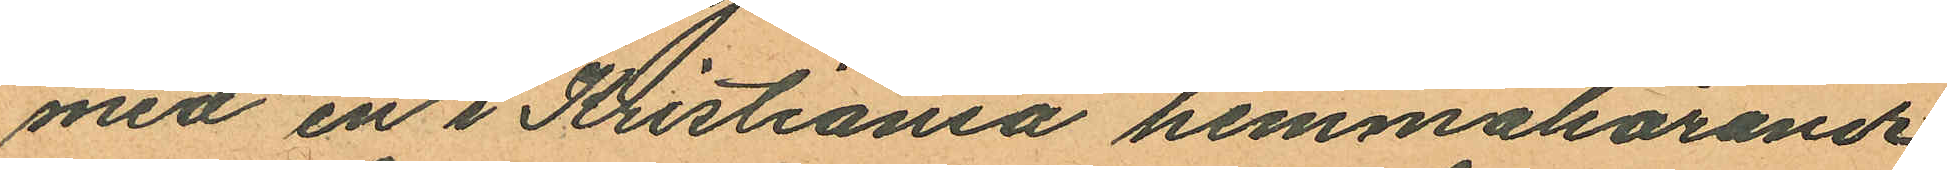med en i Kristiania hemmahörande
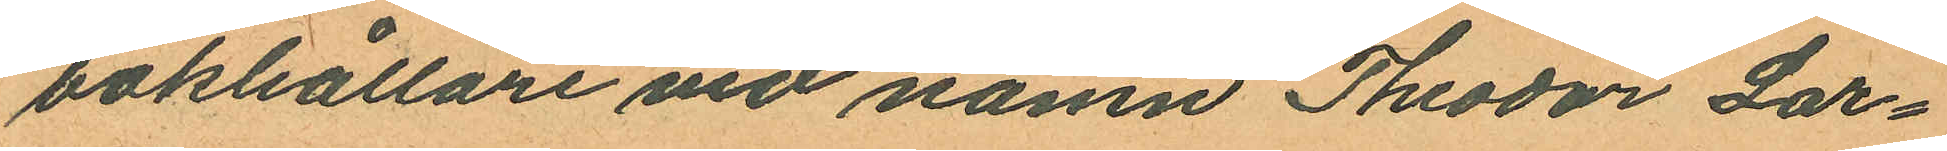bokhållare vid namn Teodor Lar¬
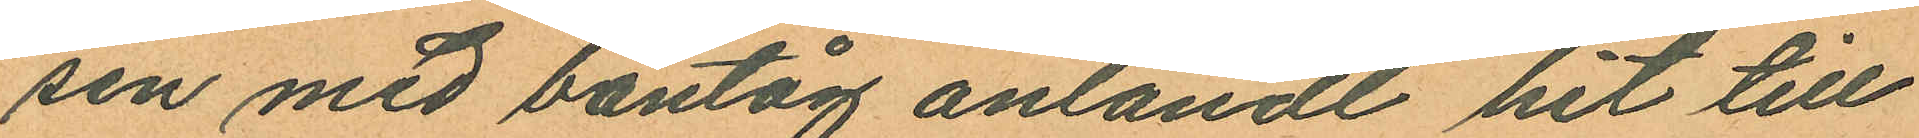sen med bantåg anländt hit till
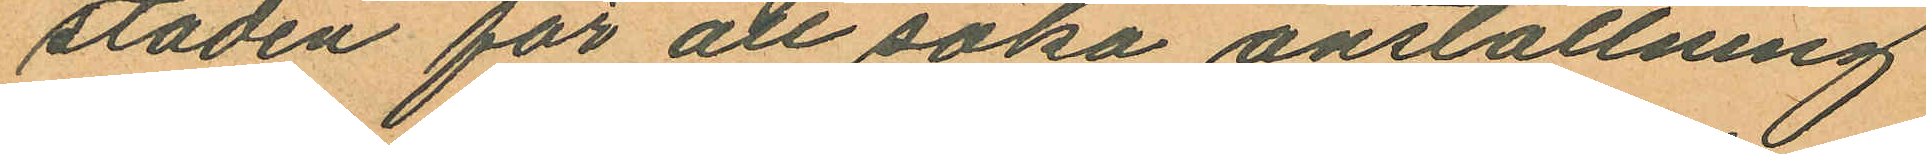staden för att söka anställning
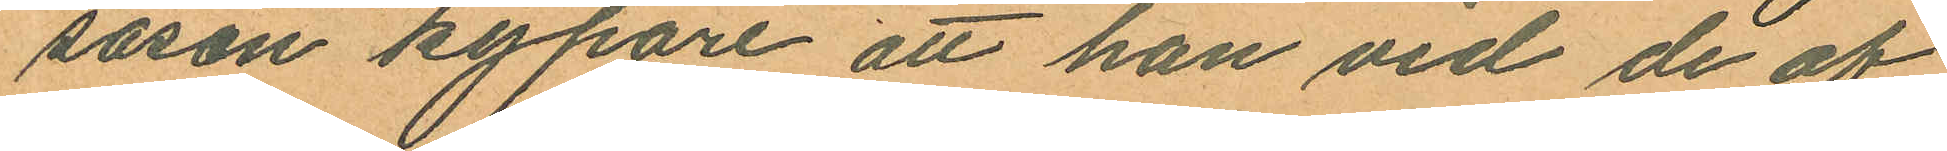såson kypare att han vid de af
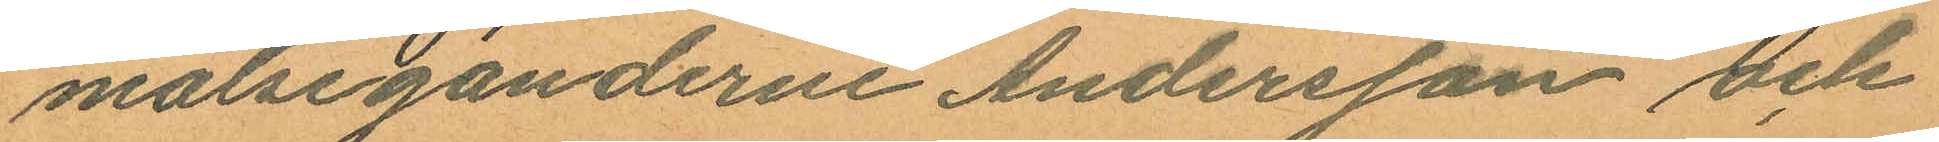målseganderne Andersson och
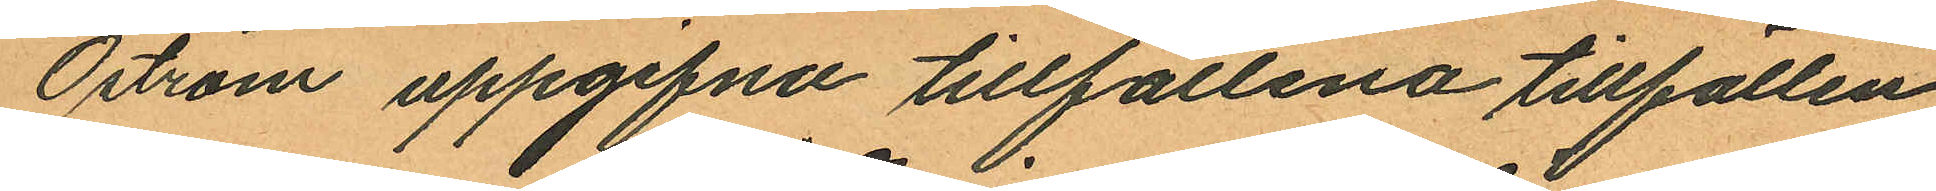Öström uppgifna tillfällena tillfällen
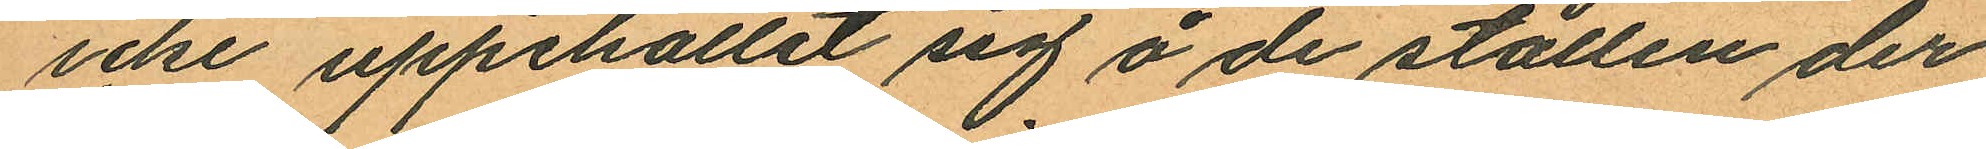icke uppehållit sig å de ställen der
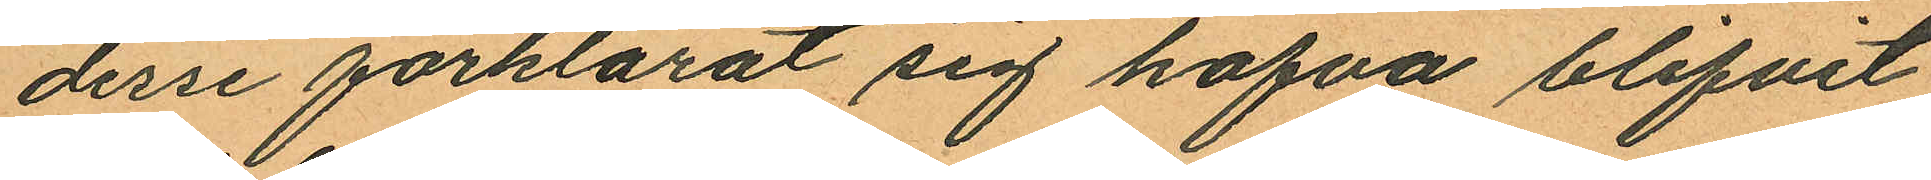desse förklarat sig hafva blifvit
